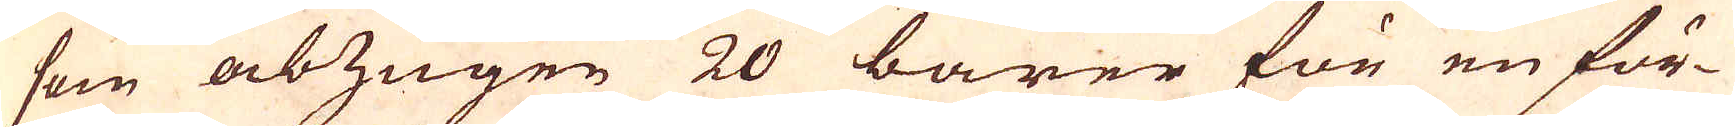som abzugen 20 barer för en för-
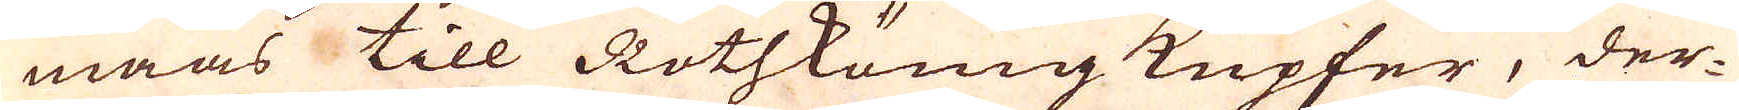maas till Rothkönig Kupfer, der-
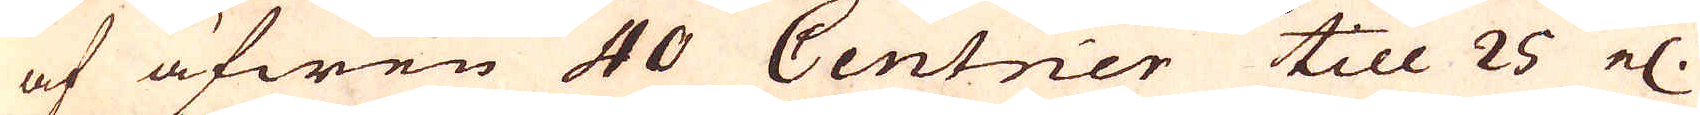af äfwen 40 Centner till 25 el.
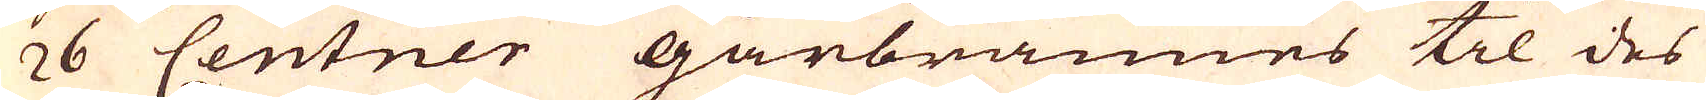26 Centner gårbrännes til des
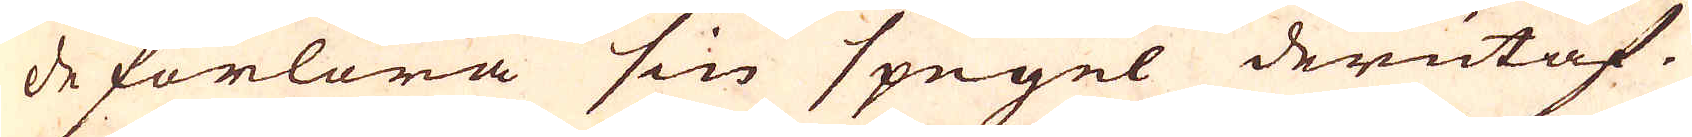de förlora sin spegel derutaf.
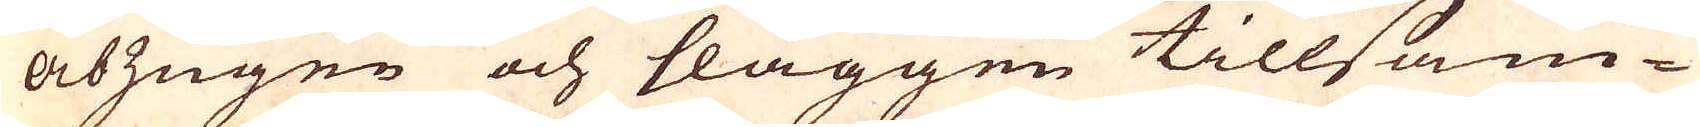Abzugen och slaggen tillsam-
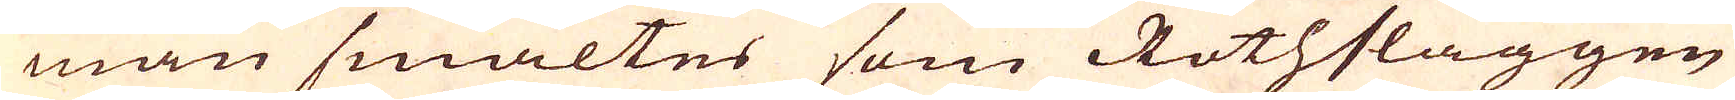man smältes som Rothslaggen
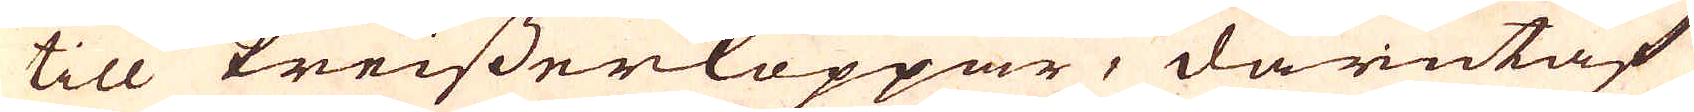till Preisserkoppar, därutaf
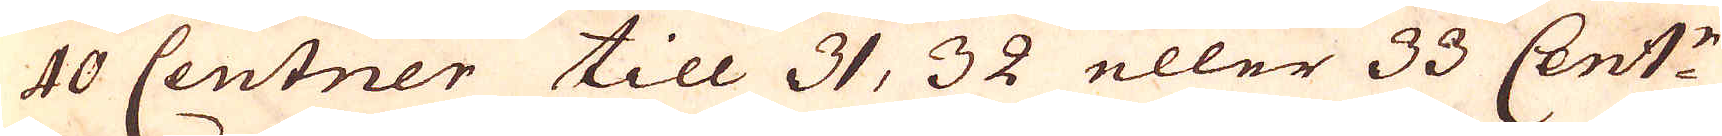40 Centner till 31, 32 eller 33 Cent:r
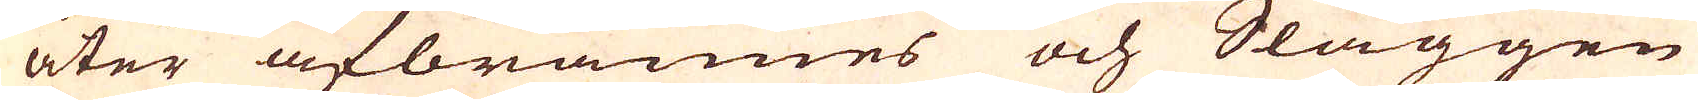åter afbrännes och Slaggen
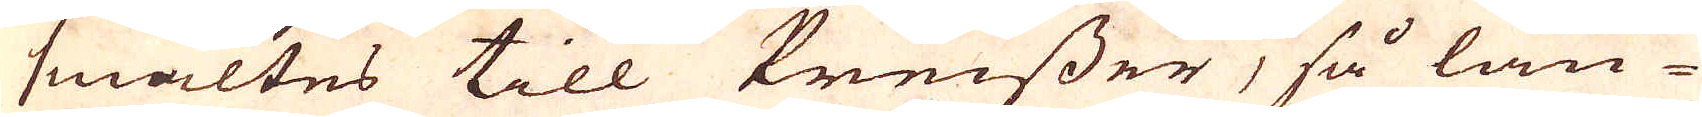smältes till Preisser, så län-
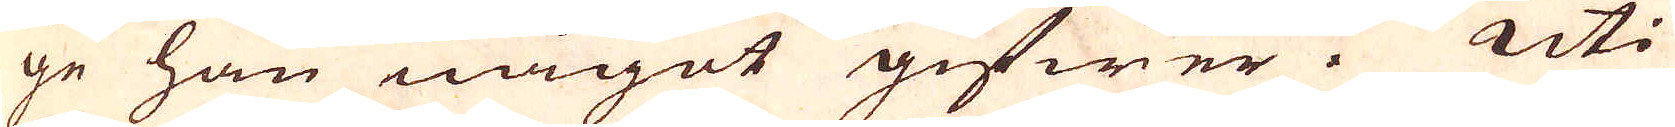ge han något gifwer. Uti
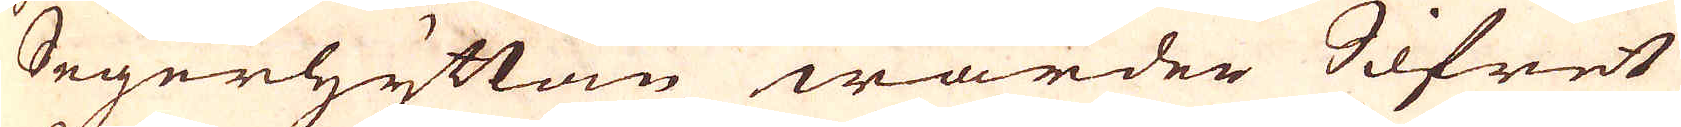Segerhyttan warder Silfret
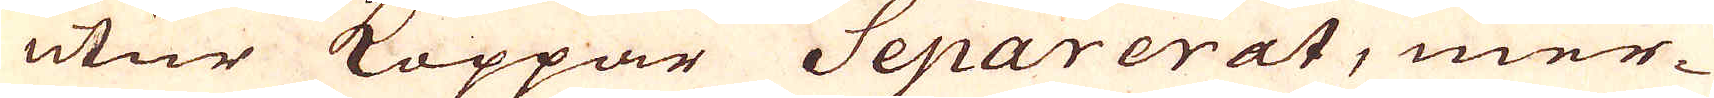utur Koppar Separerat, mer-
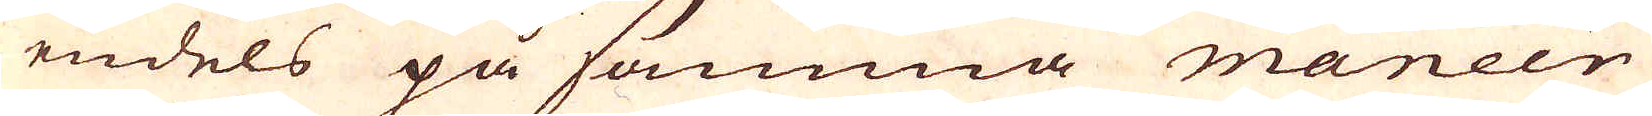endels på samma maneer
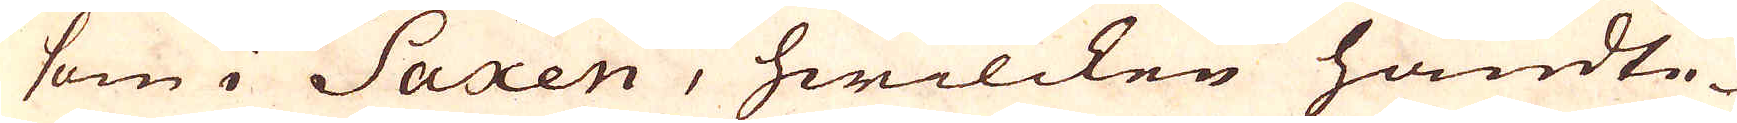som i Saxen, hwilcken handte-
